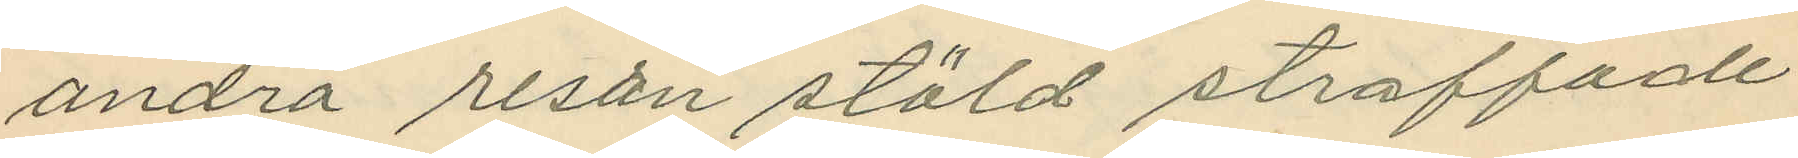andra resan stöld straffade
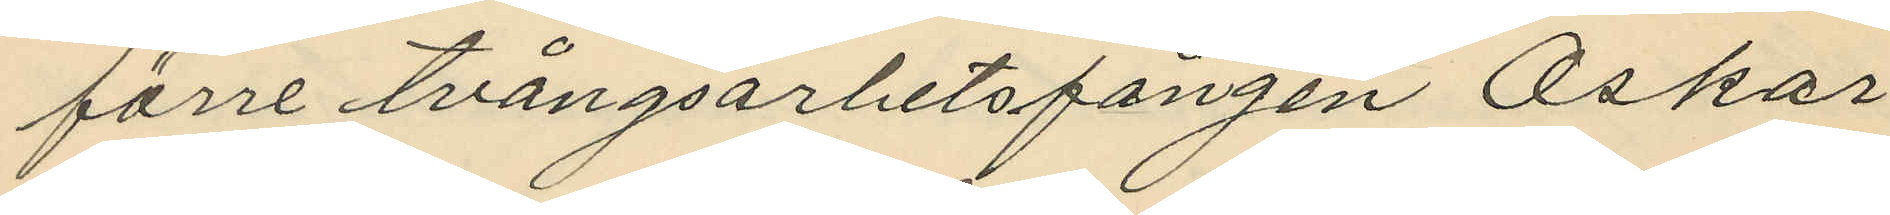förre tvångsarbetsfången Oskar
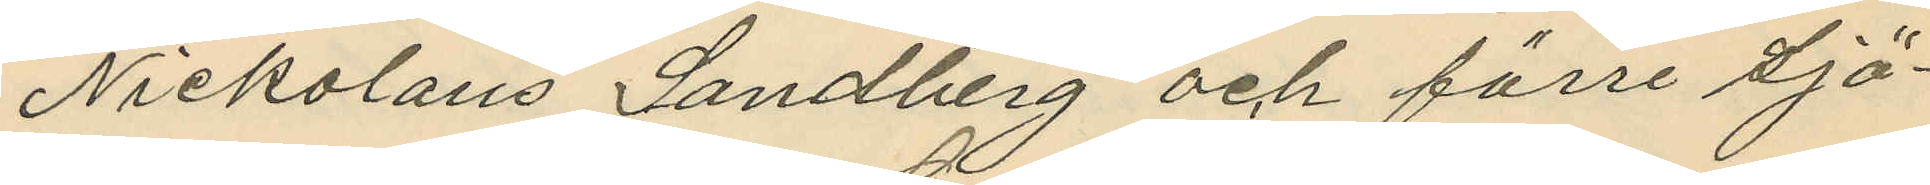Nickolaus Sandberg och förre sjö¬
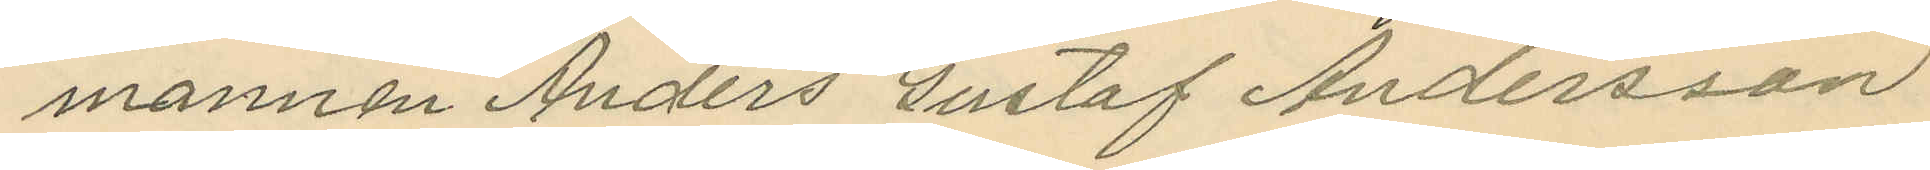mannen Anders Gustaf Andersson
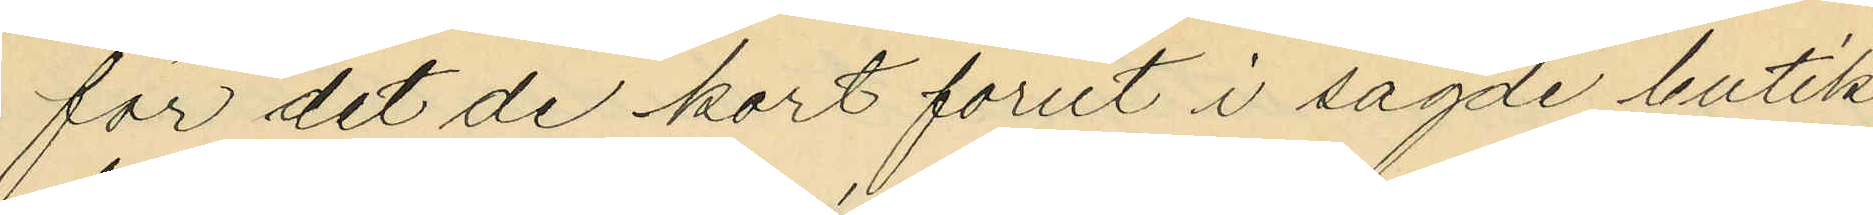för det de kort förut i sagde butik
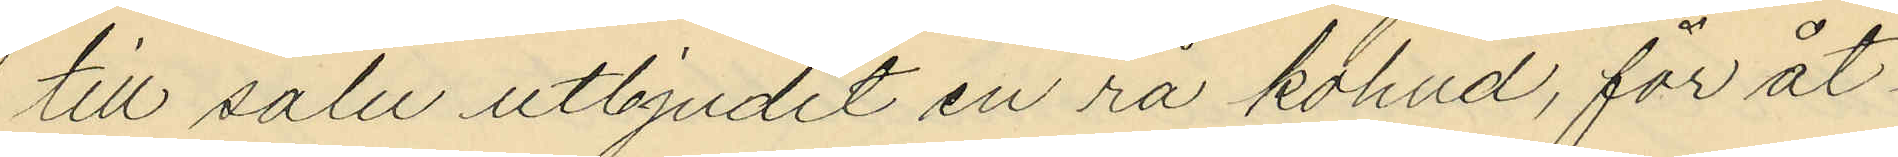till salu utbjudit en rå kohud, för åt¬
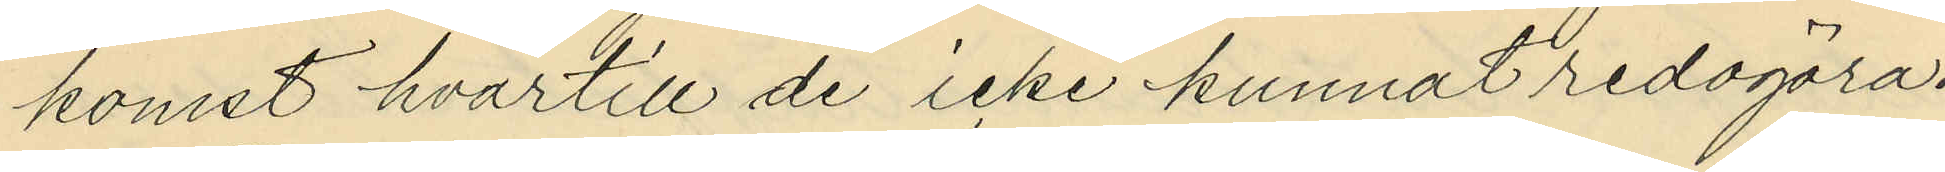komst hvartill de icke kunnat redogöra.
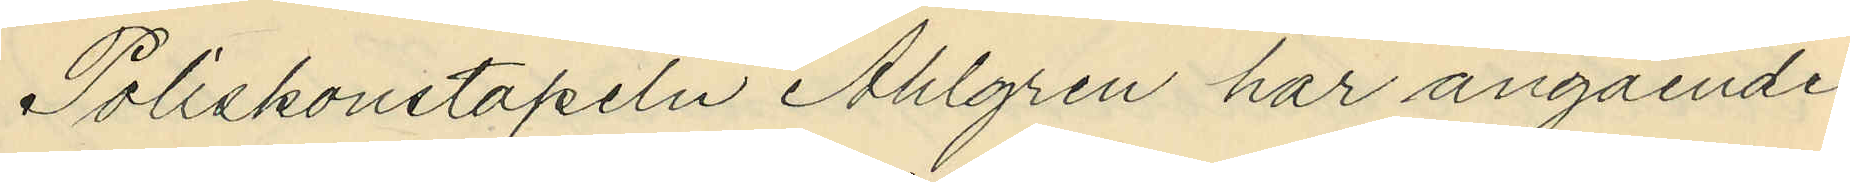Poliskonstapeln Ahlgren har angående
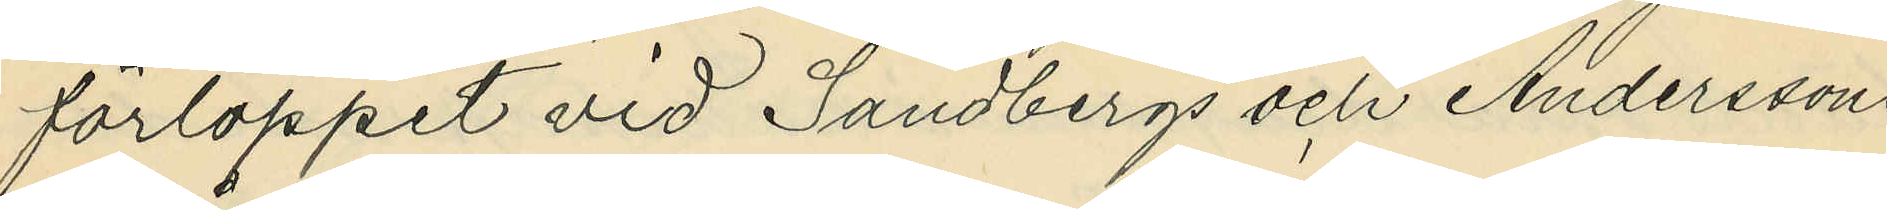förloppet vid Sandbergs och Anderssons
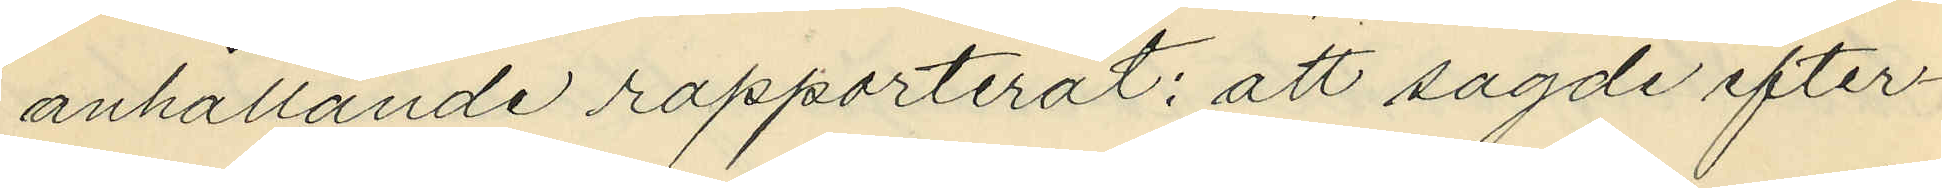anhållande rapporterat: att sagde efter¬
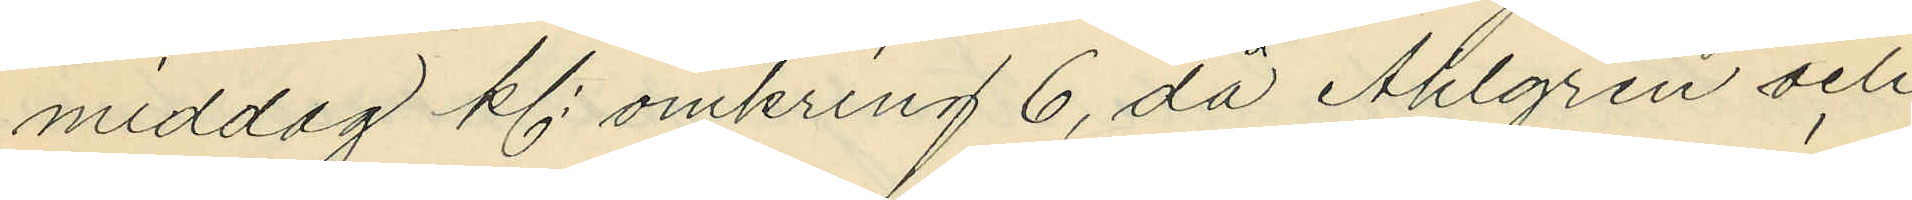middag kl. omkring 6, då Ahlgren och
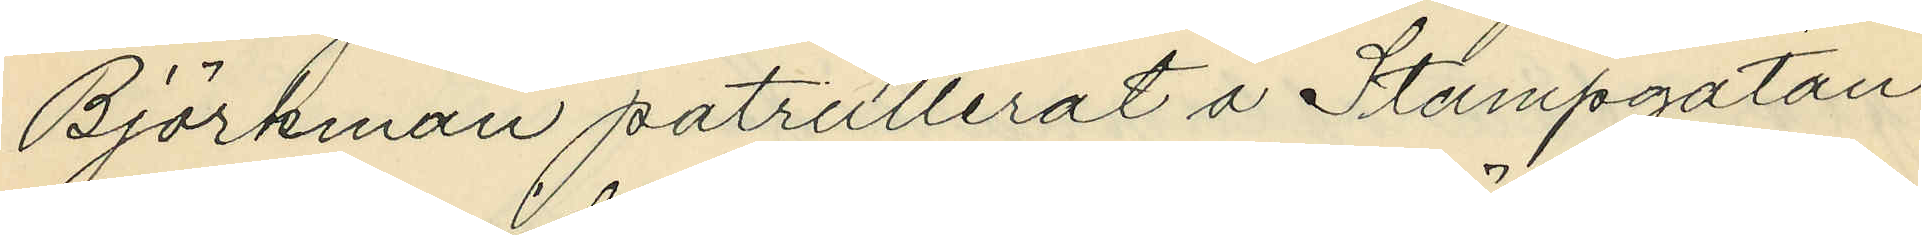Björkman patrullerat å Stampgatan
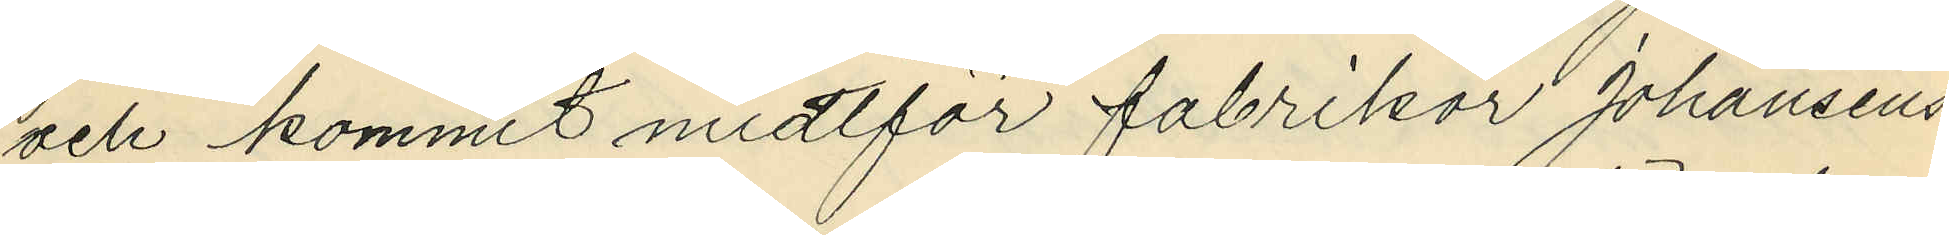och kommit midtför fabrikör Johansens
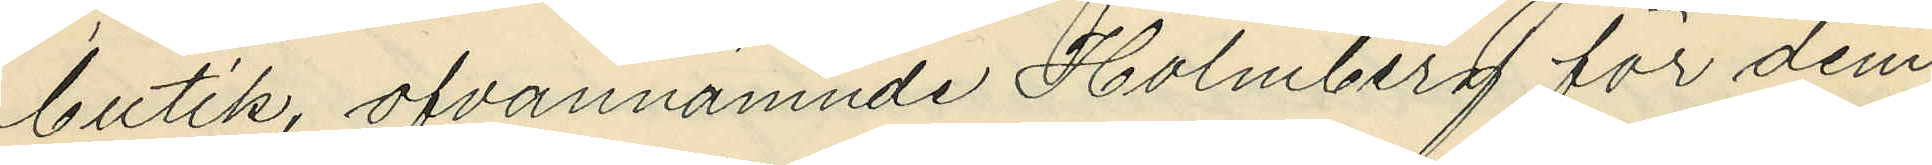butik, ofvannämnde Holmberg för dem
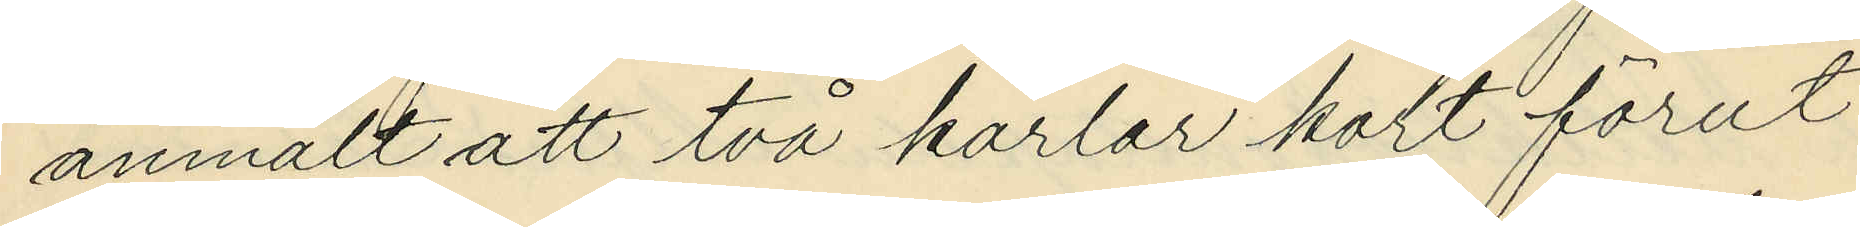anmält att två karlar kort förut
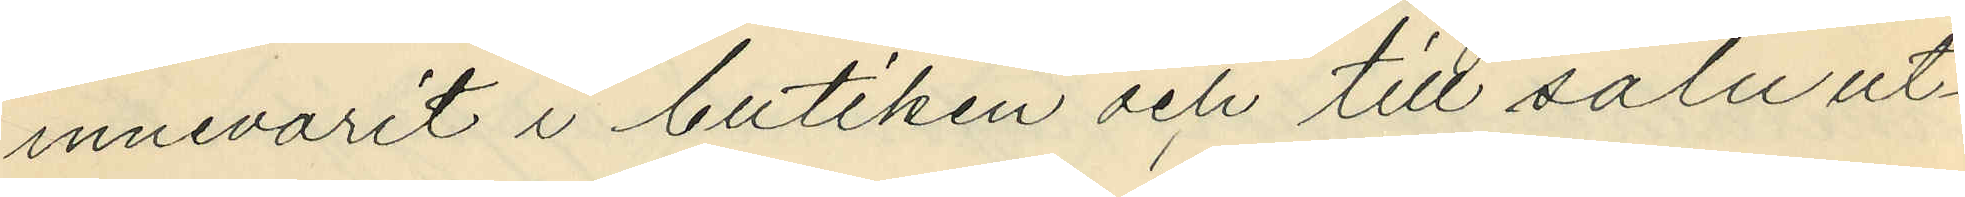innevarit i butiken och till salu ut¬
